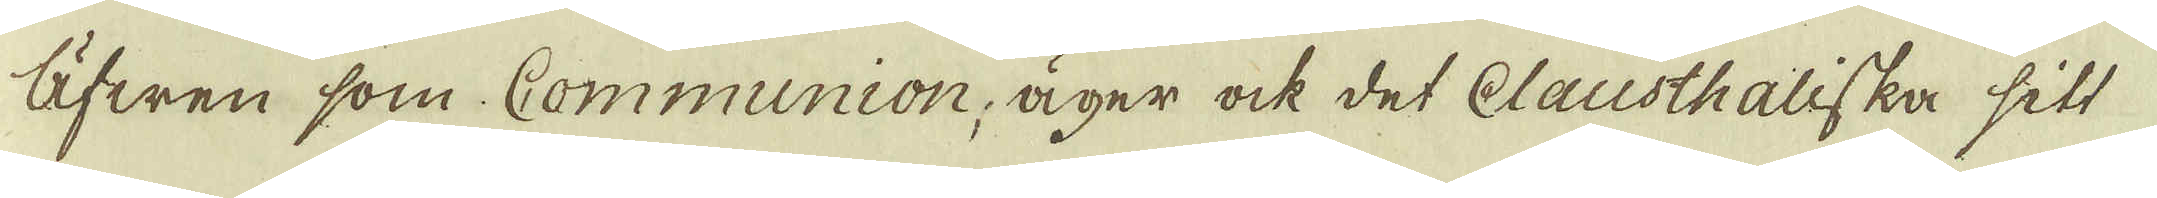Äfwen som Communion, äger ock det Clausthaliska sitt
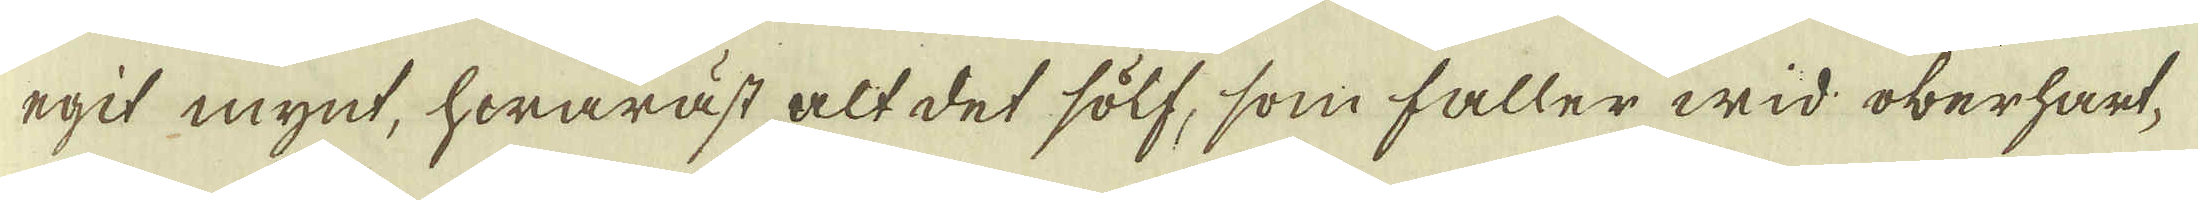egit mynt, hwaräst alt det sölf, som faller wid oberhart-
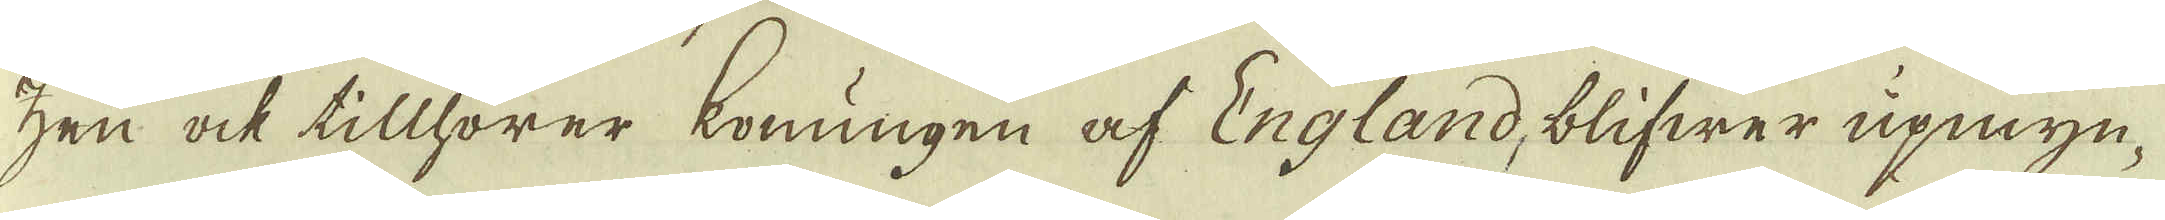zen ock tillhörer konungen af England, blifwer upmyn-
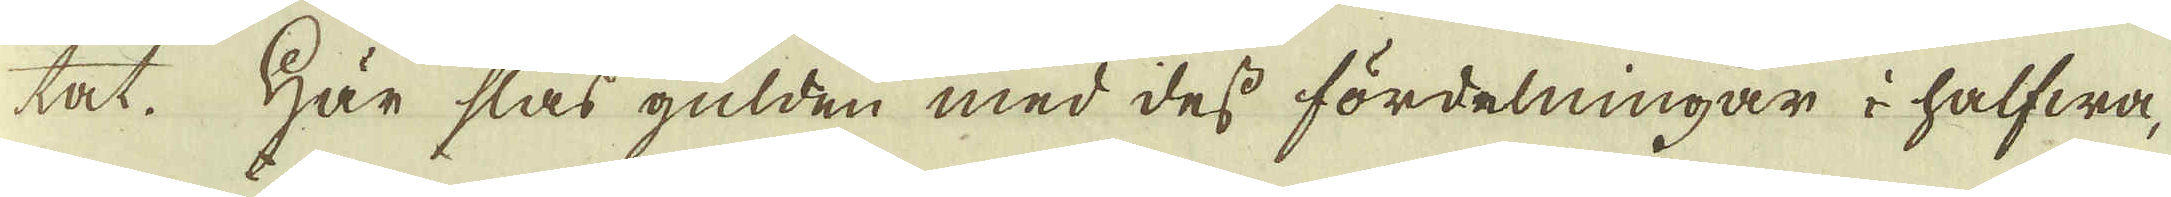tat. Här slås gulden med dess fördelningar i halfwa,
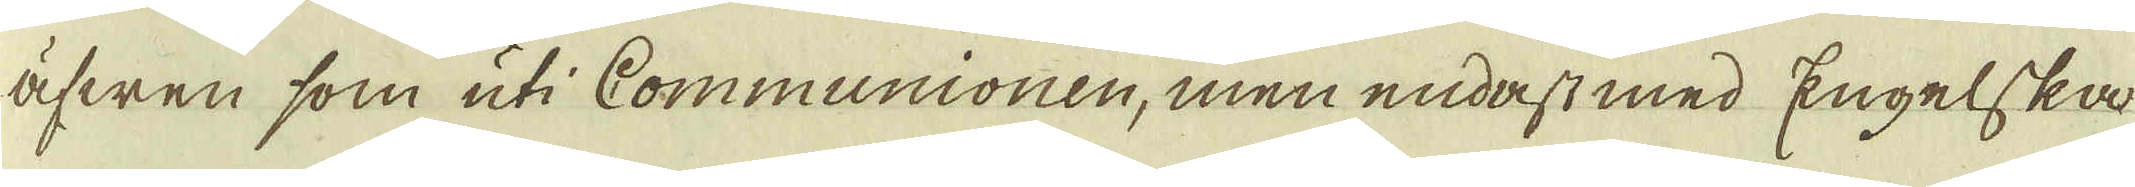äfwen som uti Communionen, men endast med Engelska
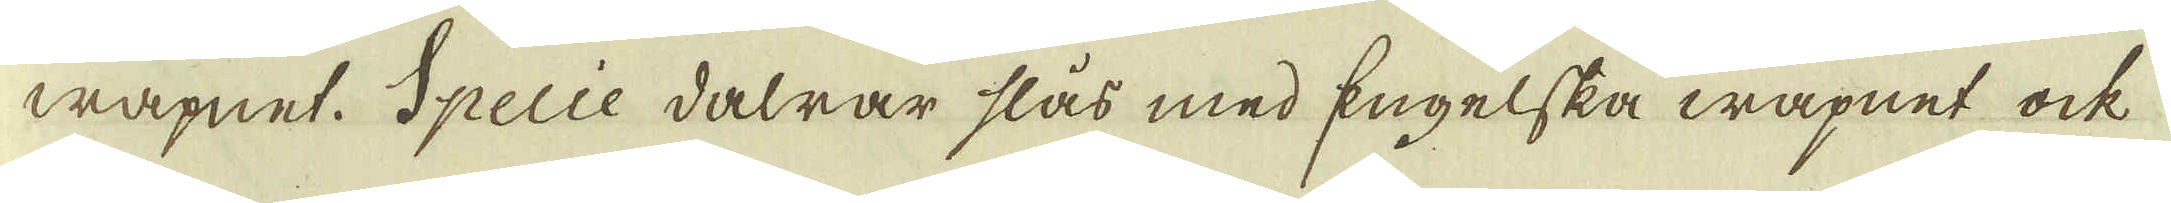wapnet. Specie dalrar slås med Engelska wapnet ock
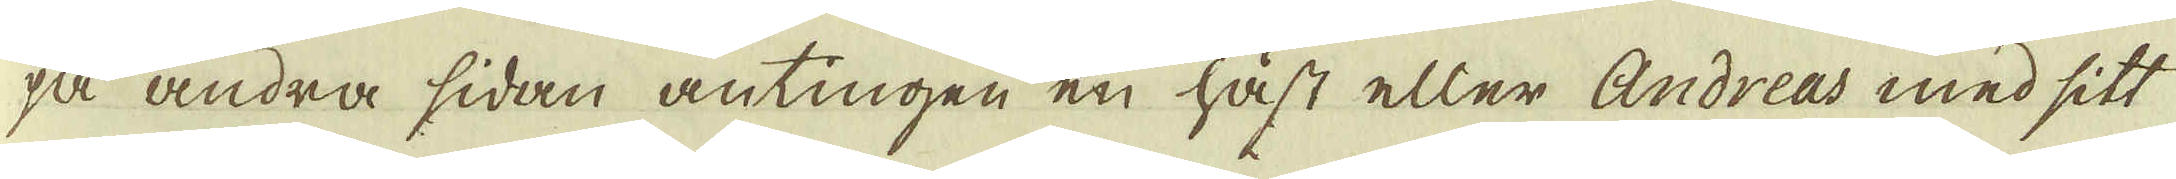på andra sidan antingen en häst eller Andreas med sitt
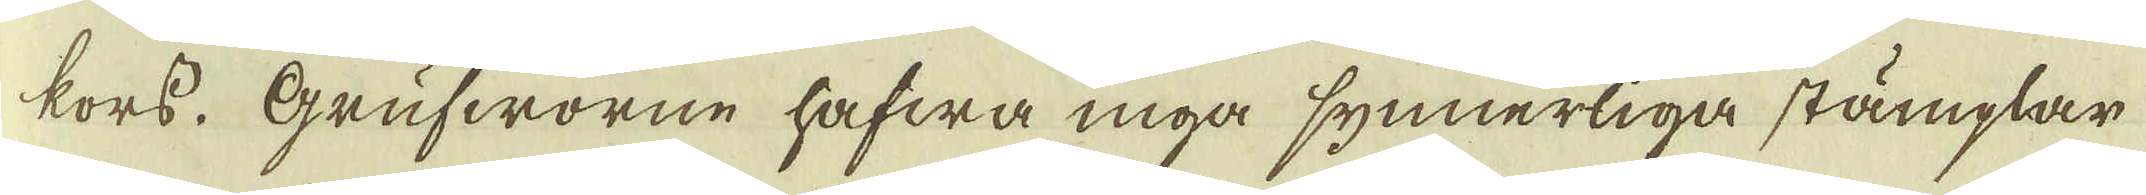kors. Grufworne hafwa inga synnerliga stämplar
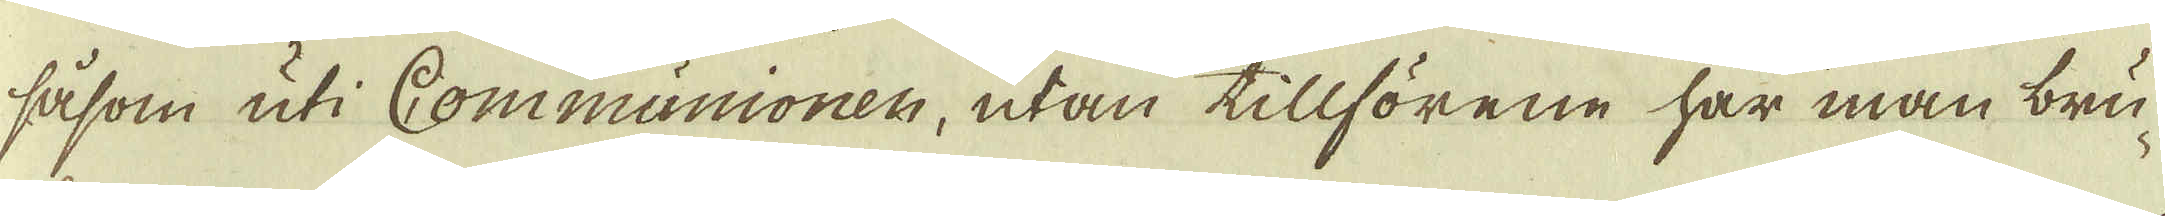såsom uti Communionen, utan tillförene har man bru-
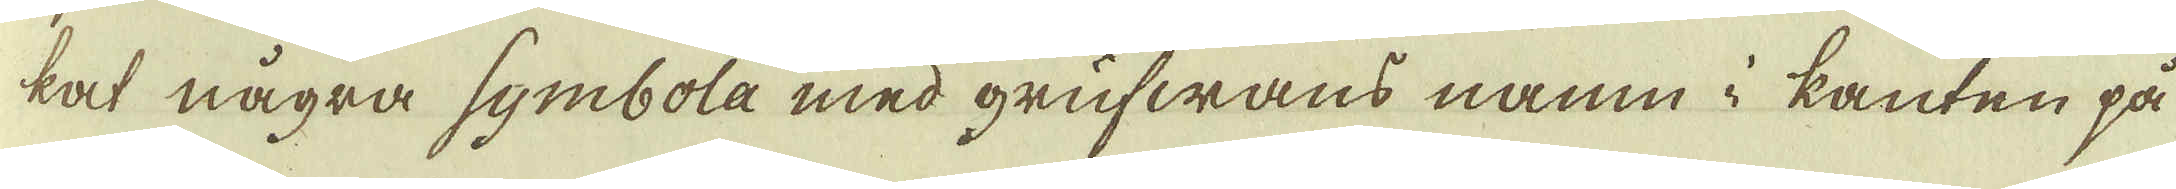kat några symbola med grufwans namn i kanten på
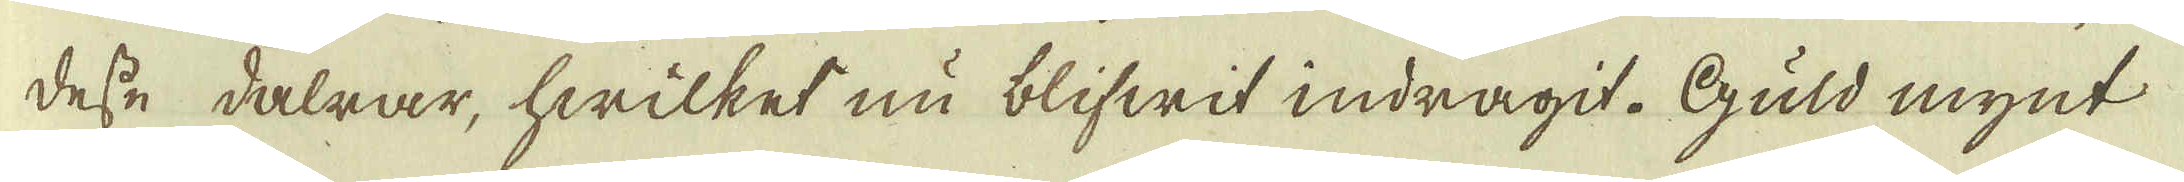desse dalrar, hwilket nu blifwit indragit. Guld mynt
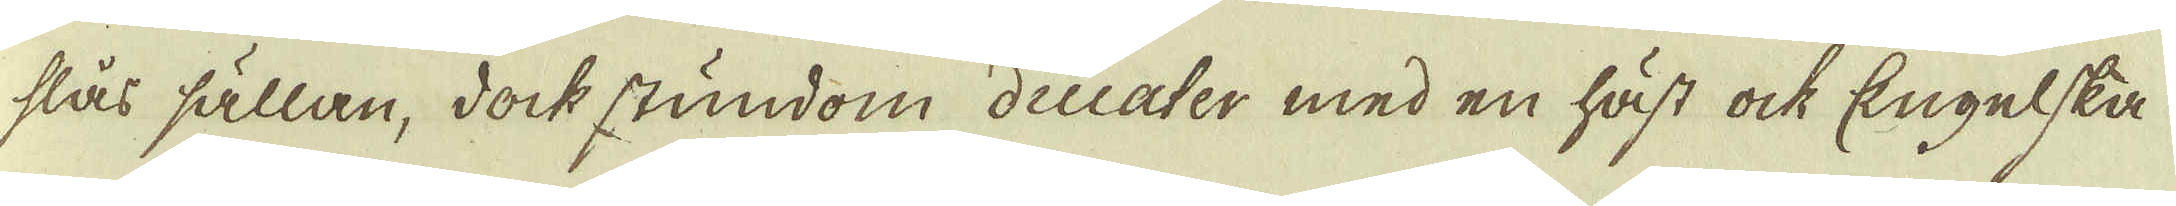slås sällan, dock stundom ducater med en häst ock Engelska
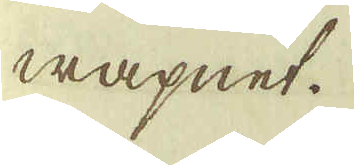wapnet.
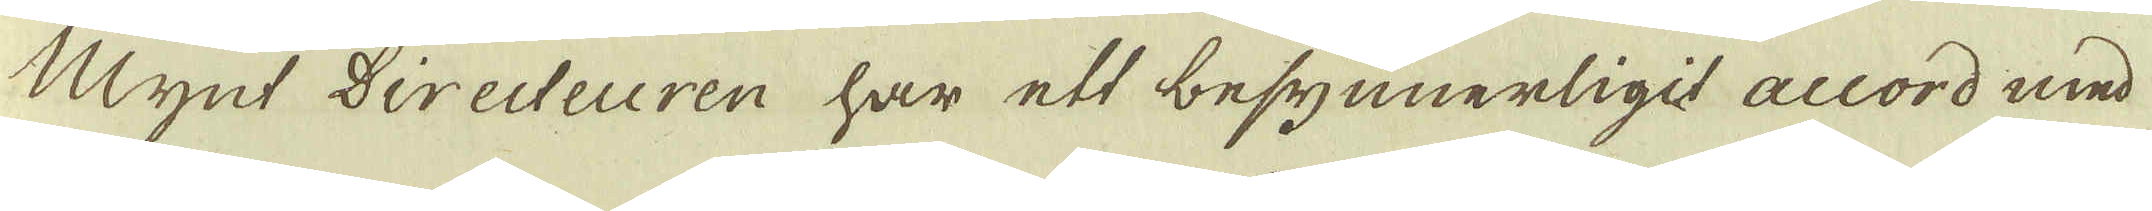Mynt Directeuren har ett besynnerligit accord med
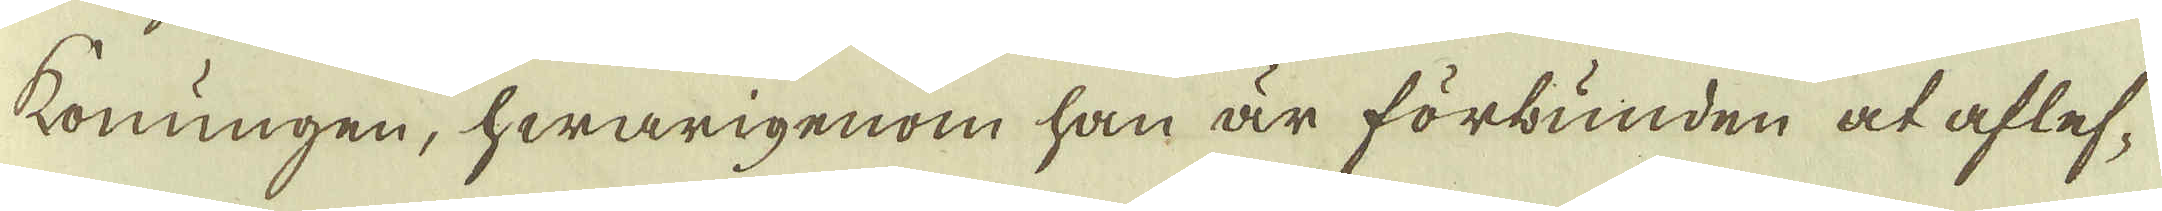Konungen, hwarigenom han är förbunden at aflef-
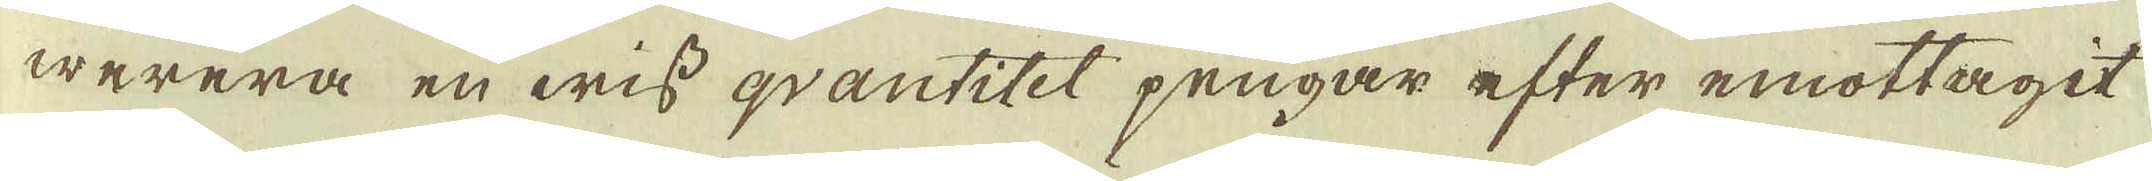werera en wiss qvantitet pengar efter emottagit
